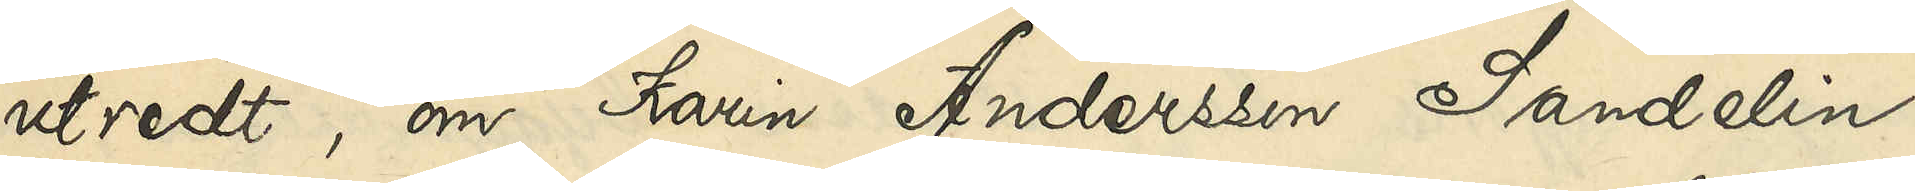utredt, om Karin Andersson Sandelin
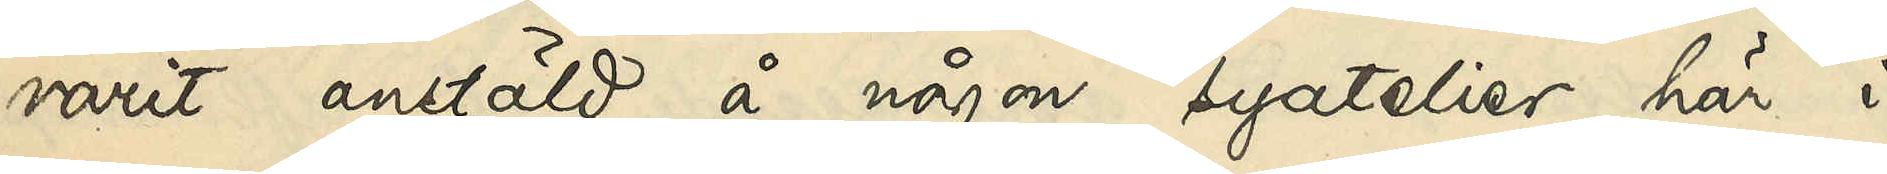varit anstäld å någon syatelier här i
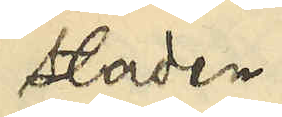staden 
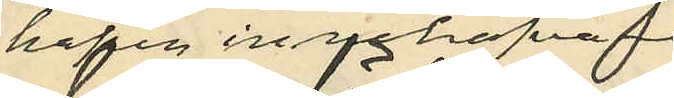hafva innehafvare
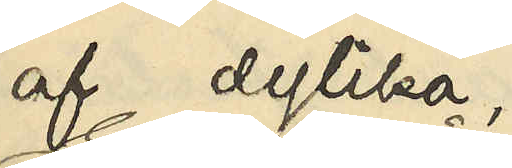af dylika
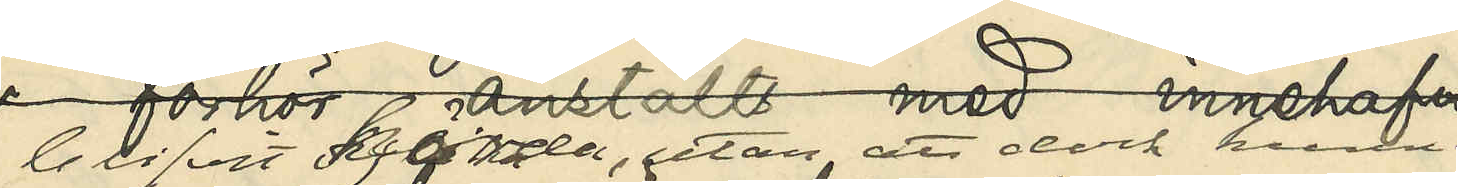blifvit hörda, utan att dock kunna
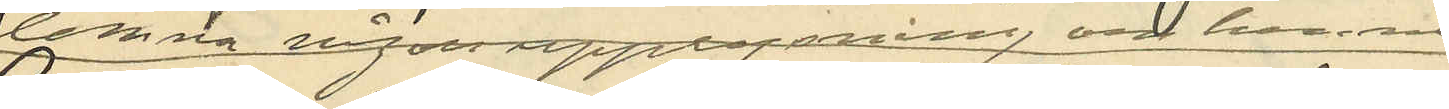lemna någon upplysning om henne
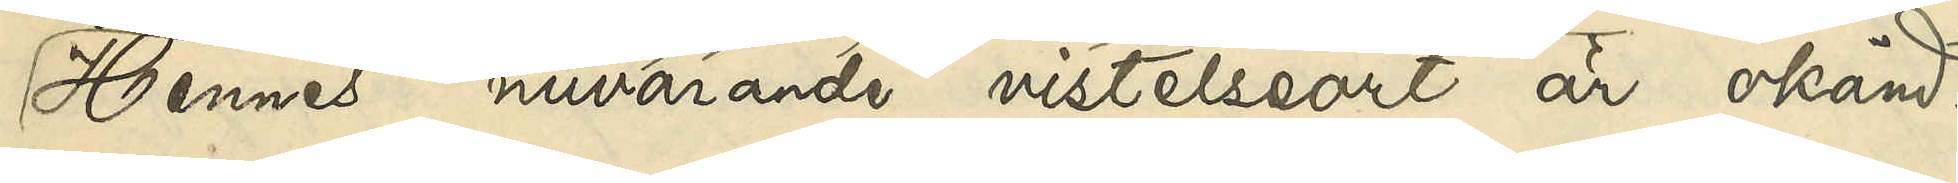Hennes nuvarande vistelseort är okänd.
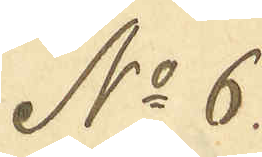No 6.
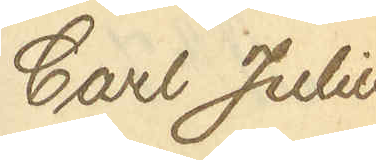Carl Julius
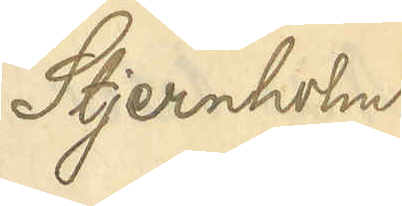Stjernholm
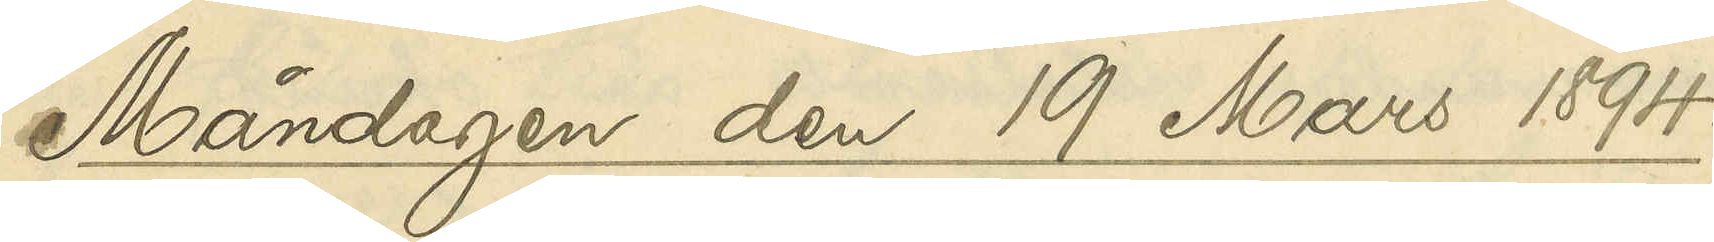Måndagen den 19 Mars 1894.
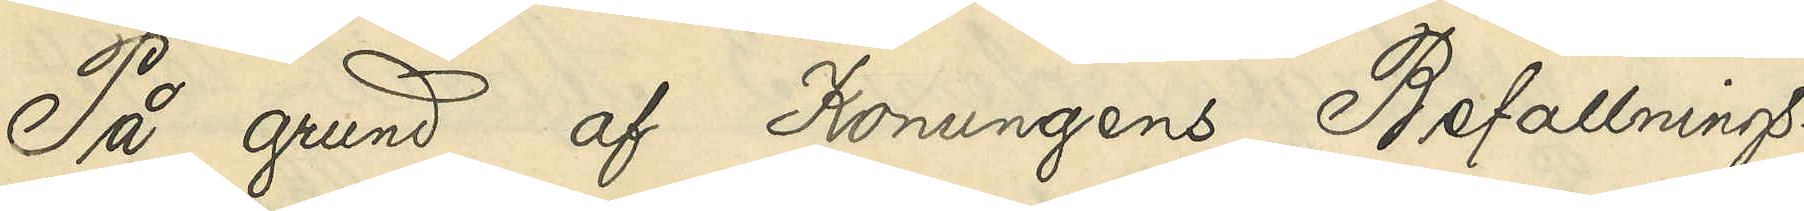På grund af Konungens Befallnings¬
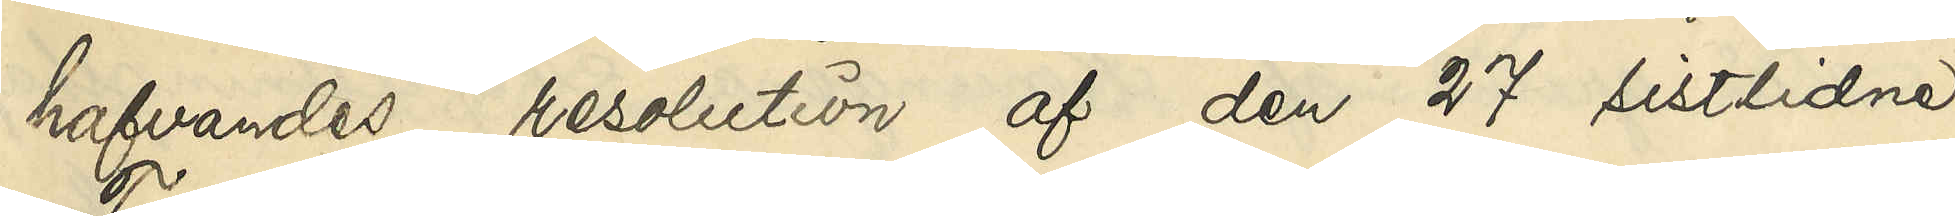hafvandes resolution af den 27 sistlidne
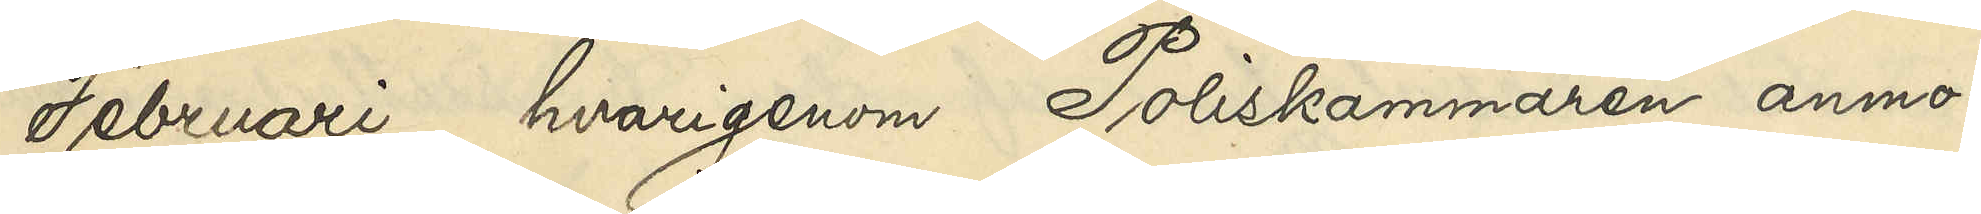Februari, hvarigenom Poliskammaren anmo¬
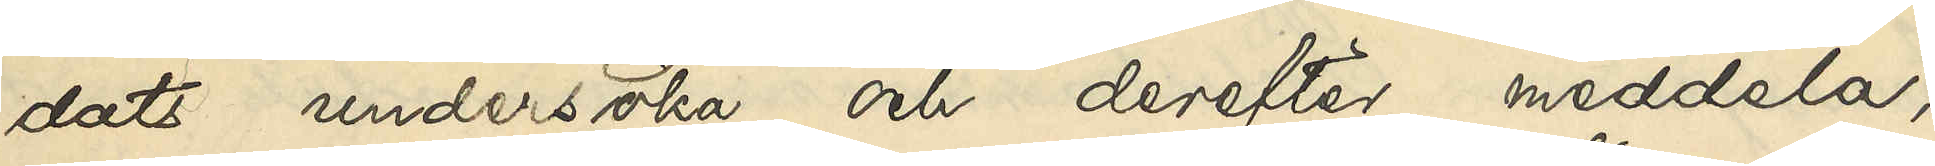dats undersöka och derefter medela,
